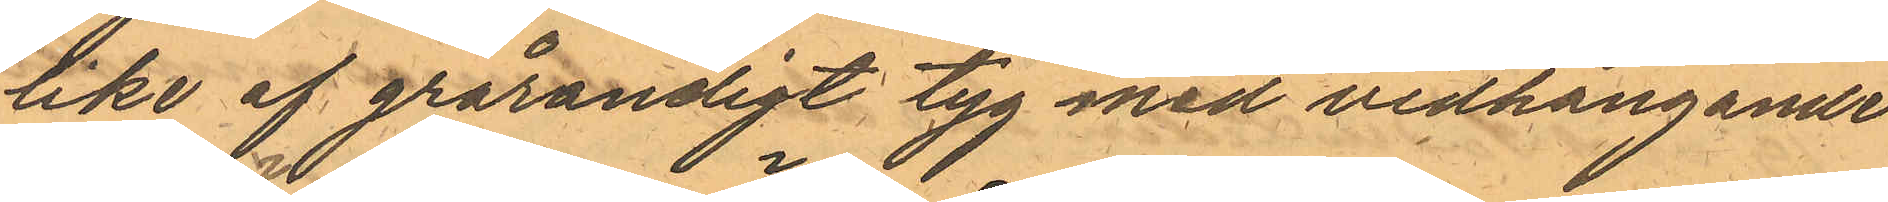like af grårandigt tyg med vidhängande
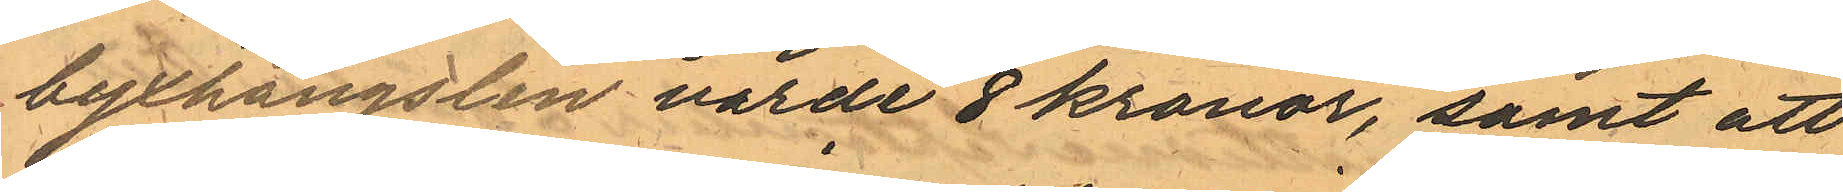byxhängslen värde 8 kronor, samt att
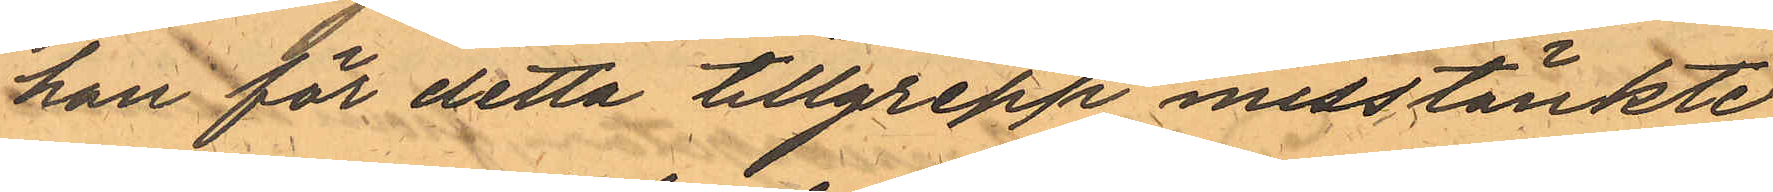han för detta tillgrepp misstänkte
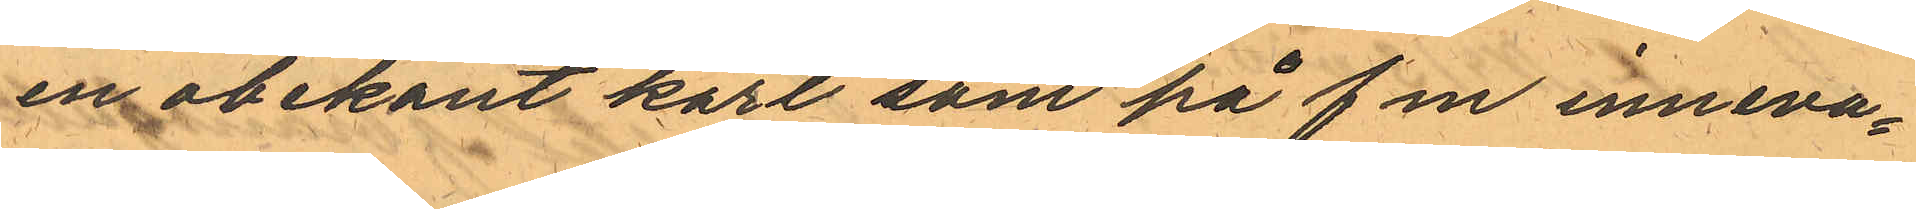en obekant karl som på f m inneva¬
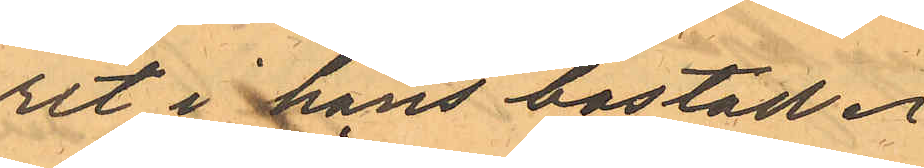rit i hans bostad.
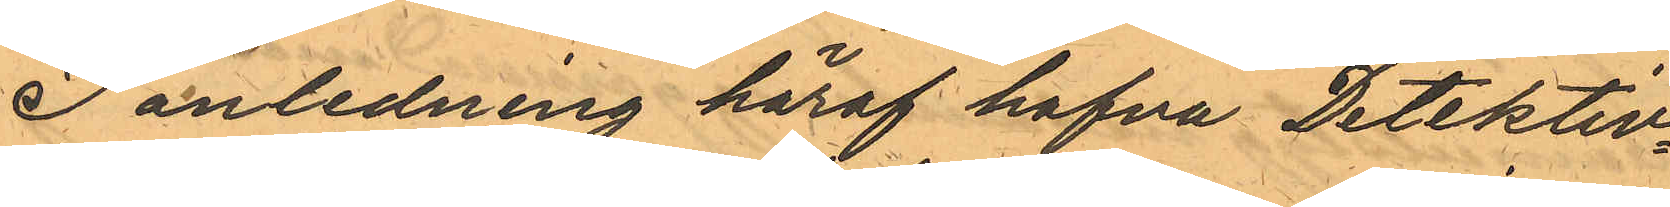I anledning häraf hafva Detektiv¬
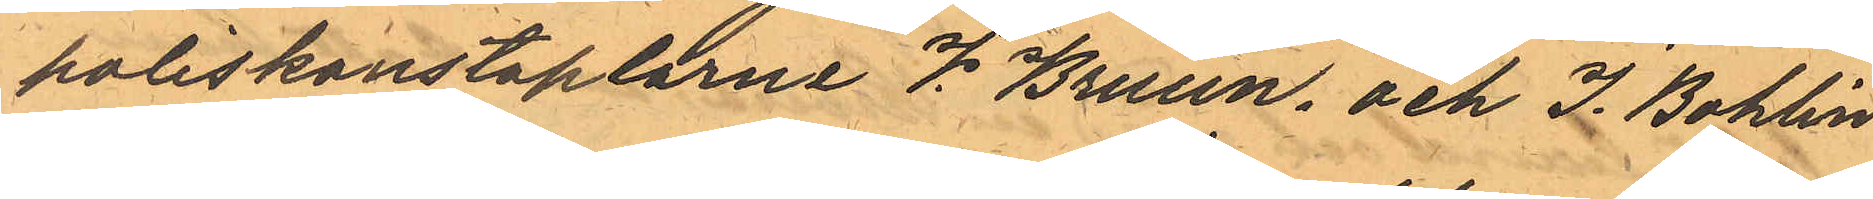poliskonstaplarna V. Bruun, och J. Bohlin
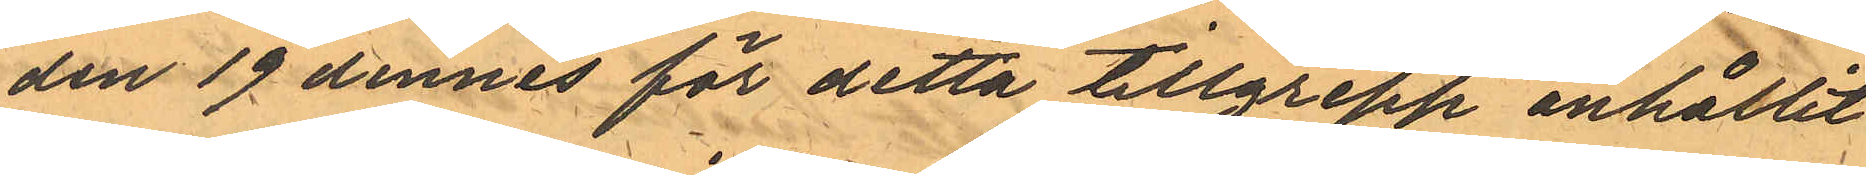den 19 dennes för detta tillgrepp anhållit
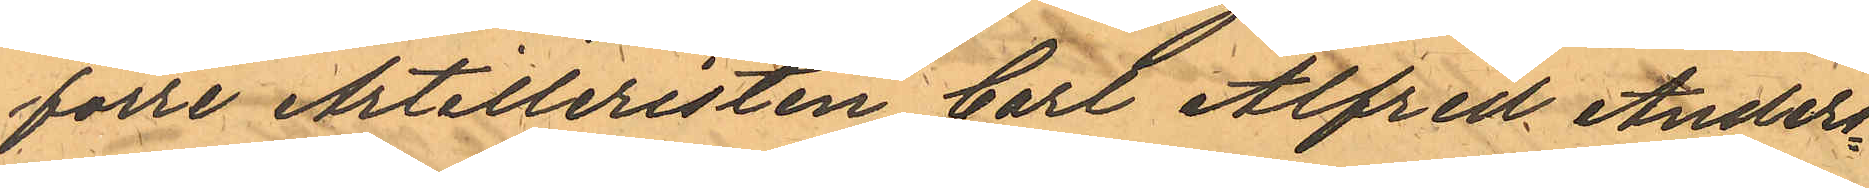förre Artilleristen Carl Alfred Anders¬
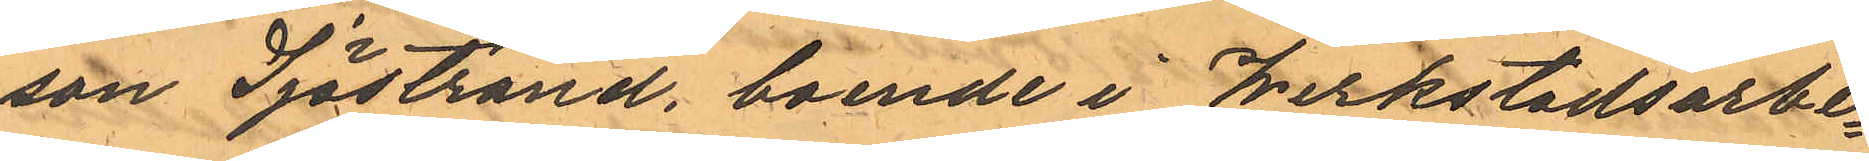son Sjöstrand, boende i Werkstadsarbe¬
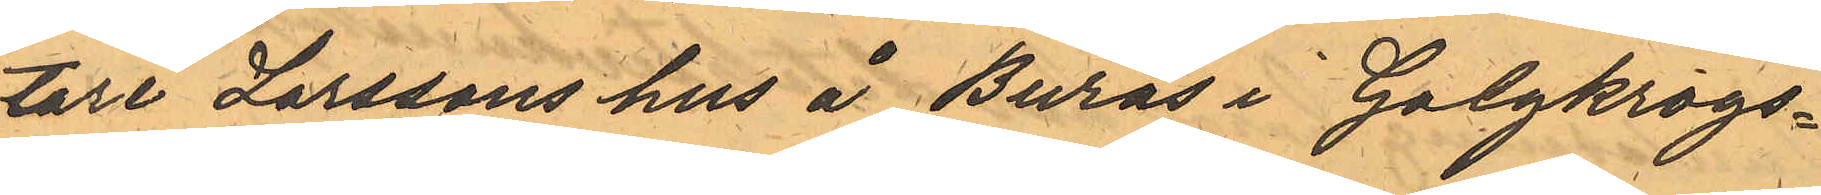tare Larssons hus å Burås i Galgkrogs¬
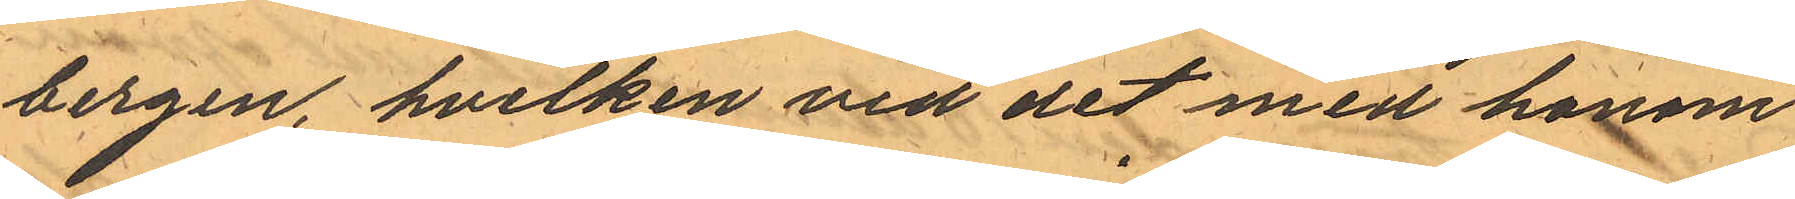bergen, hvilken vid det med honom
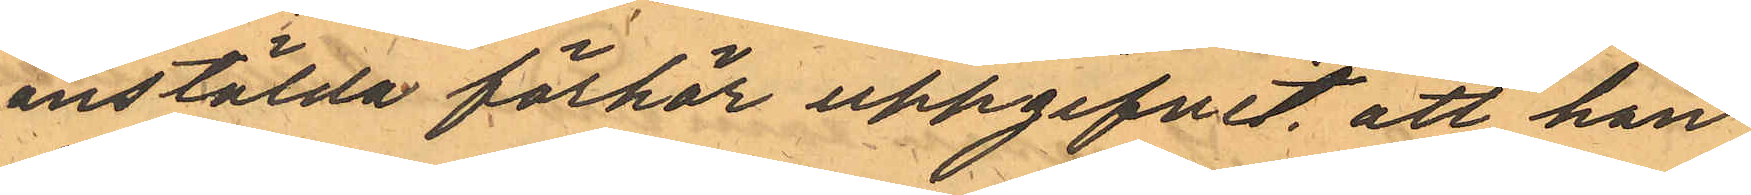anstälda förhör uppgifvit, att han
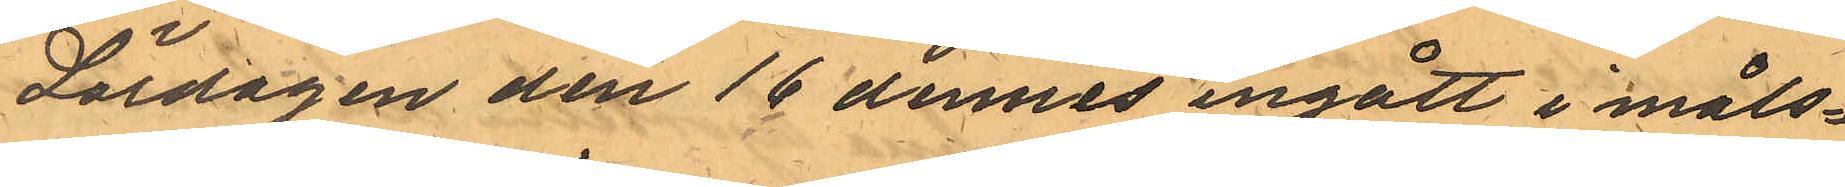Lördagen den 16 dennes ingått i måls¬
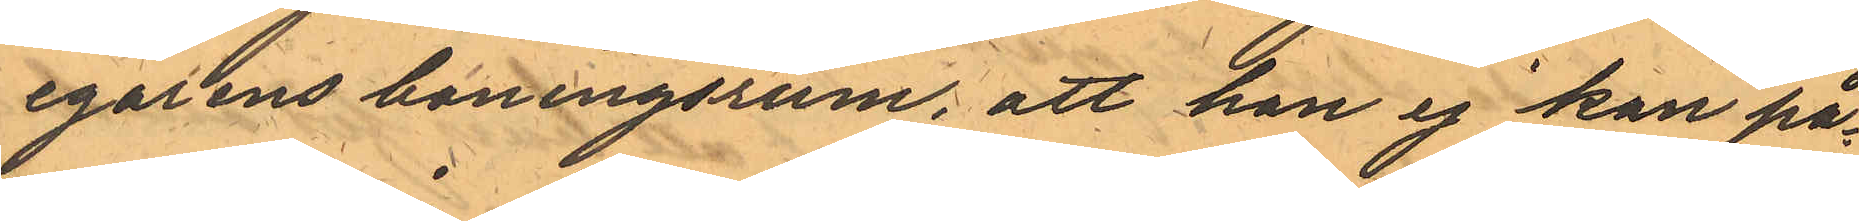egarens boningsrum; att han ej kan på¬
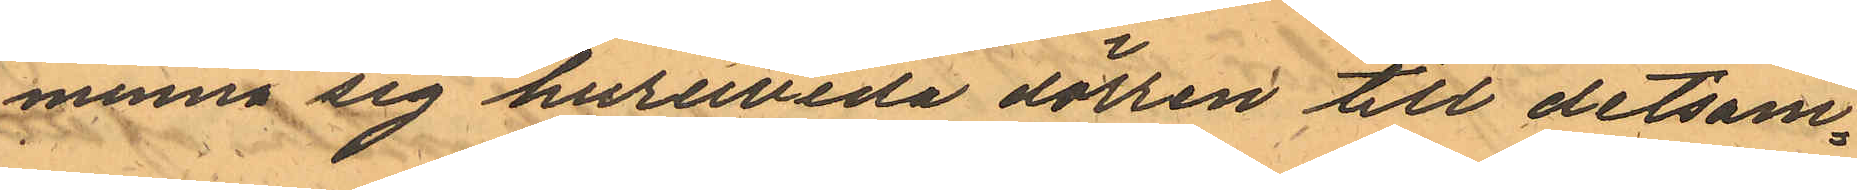minna sig huruvida dörren till detsam¬
